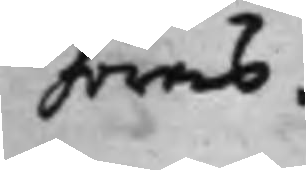höras.
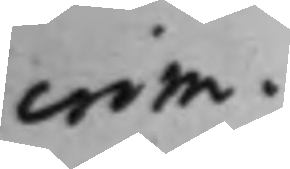crim.
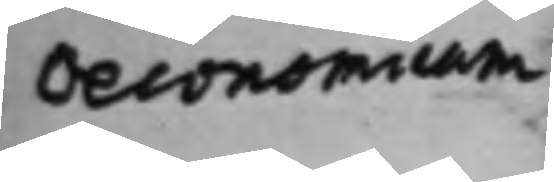Oeconomium
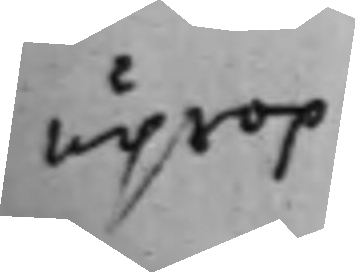uprop
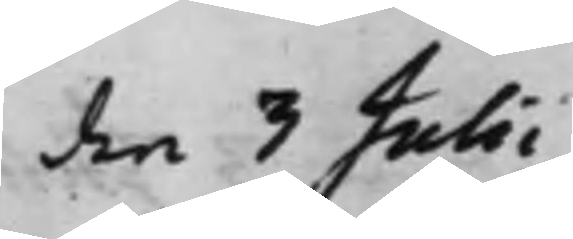den 3 Julii
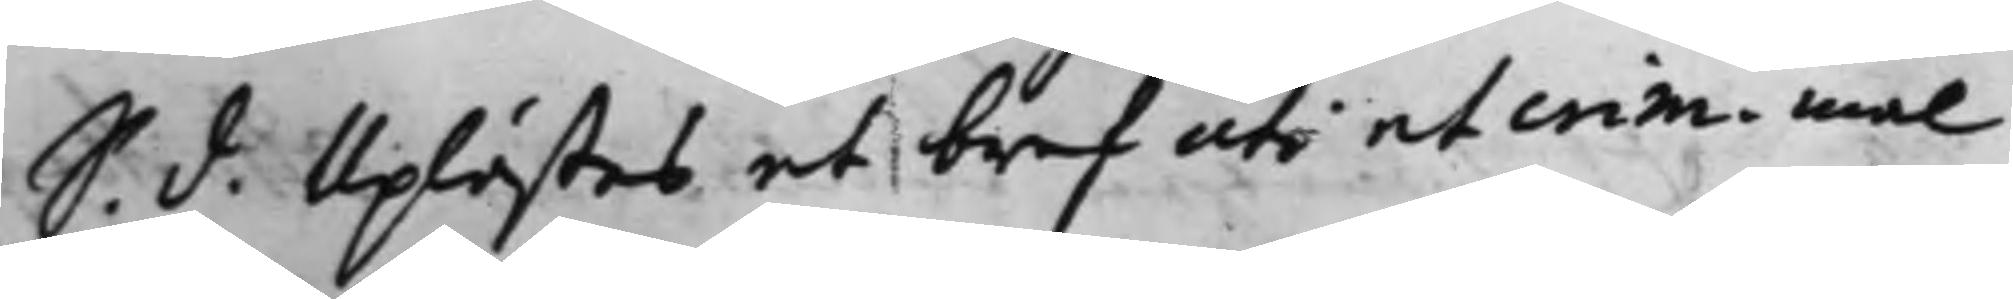S. d. Uplästes ett bref uti et crim. mål
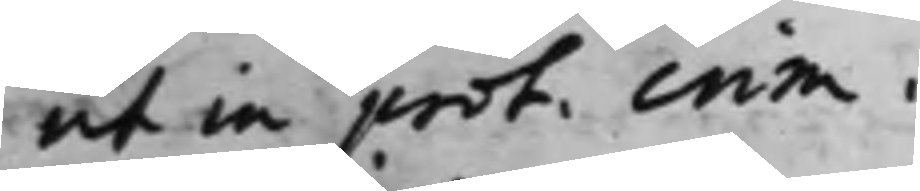ut in prot. crim.
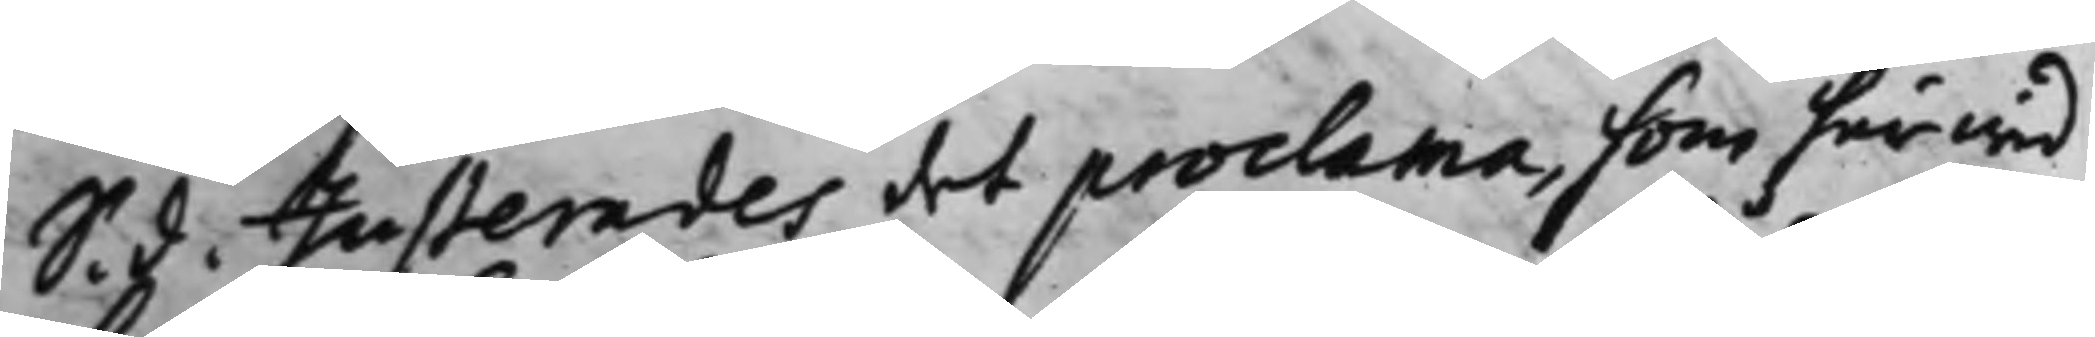S. d. Justerades det proclama, som härwid
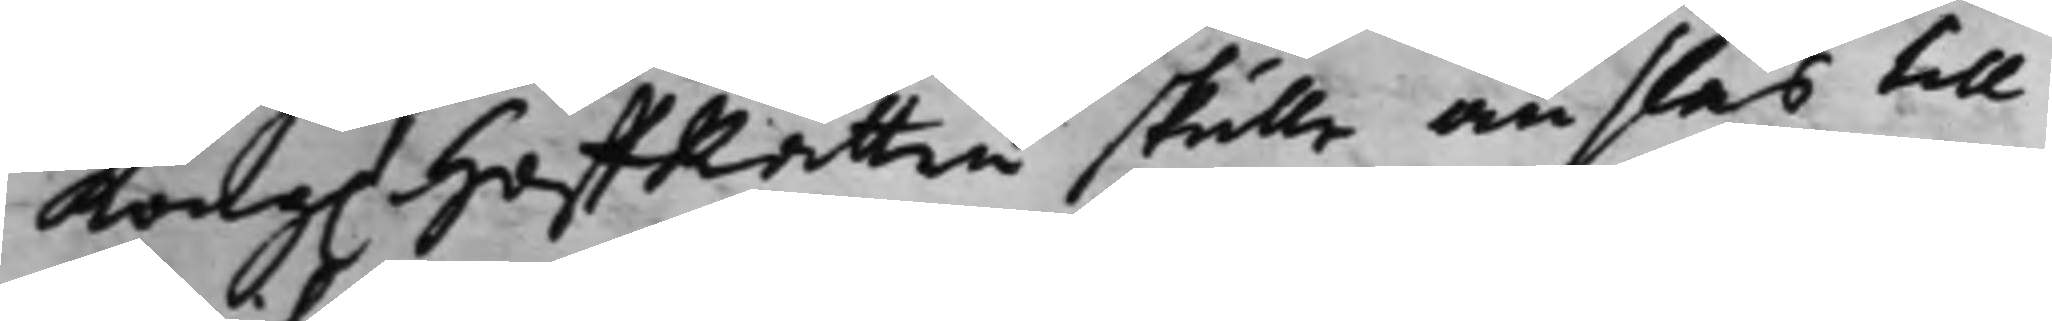Kong. HoffRätten skulle anslås till
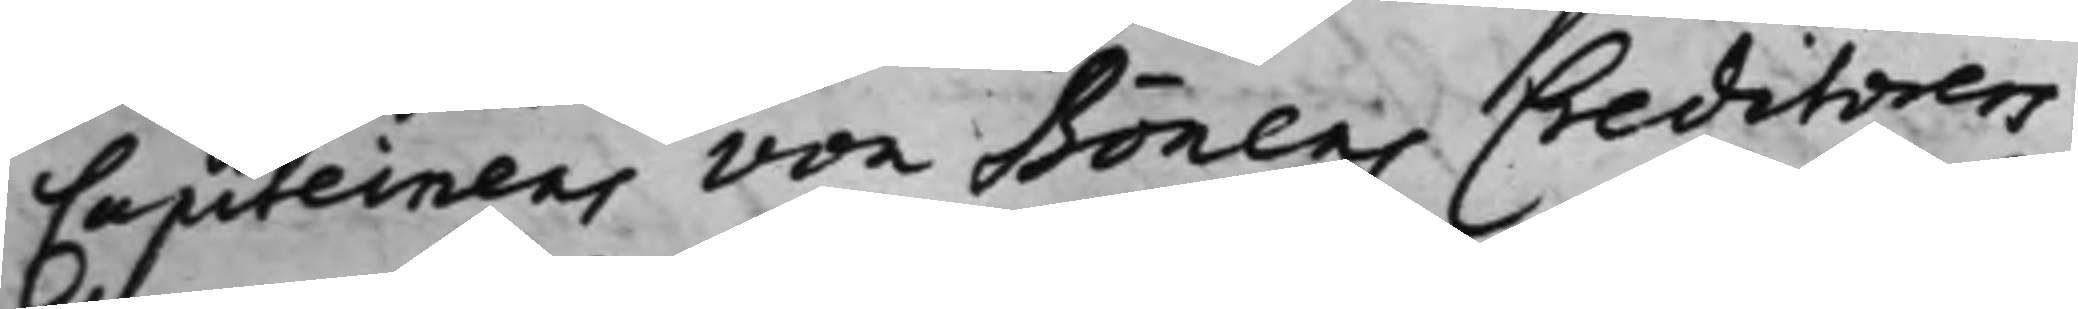Capiteinens von Bönens Creditorers
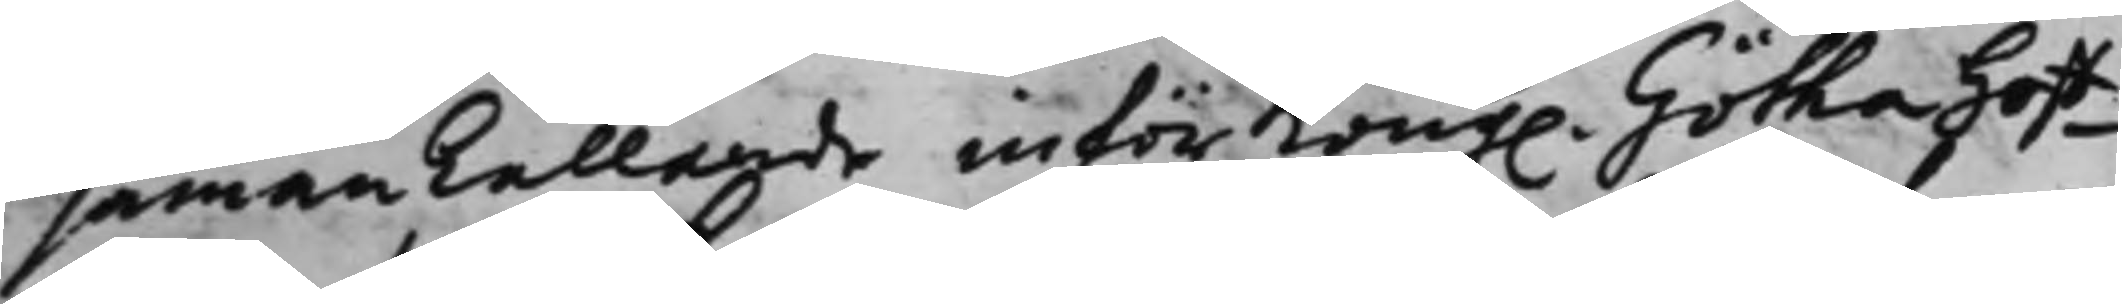sammankallande inför Kong. Götha Hoff¬
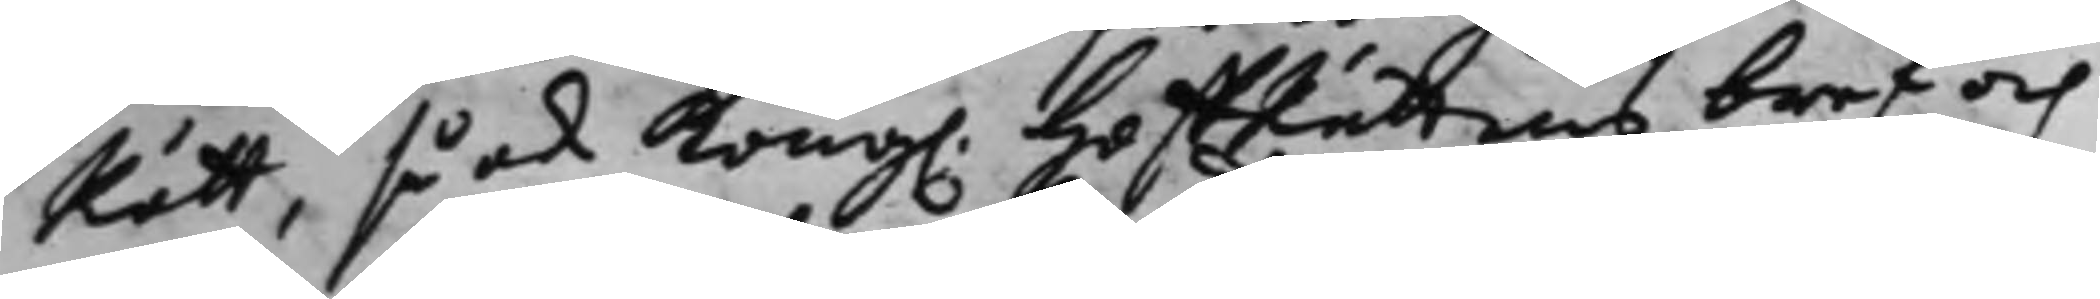Rätt, så ock Kong. HoffRättens bref och
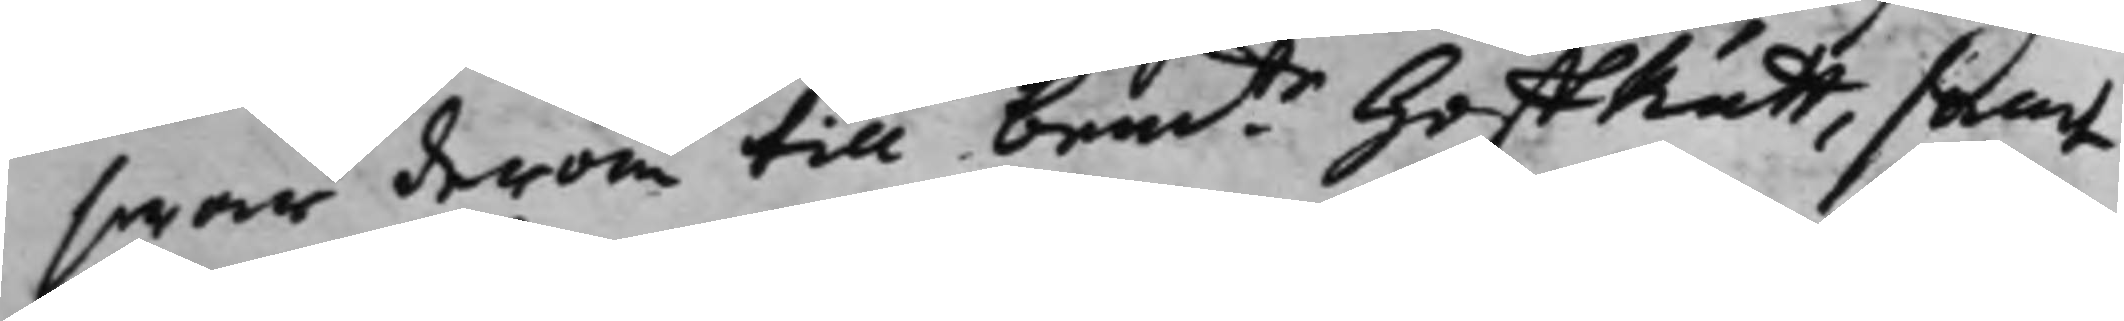swar derom till bemte HoffRätt, samt
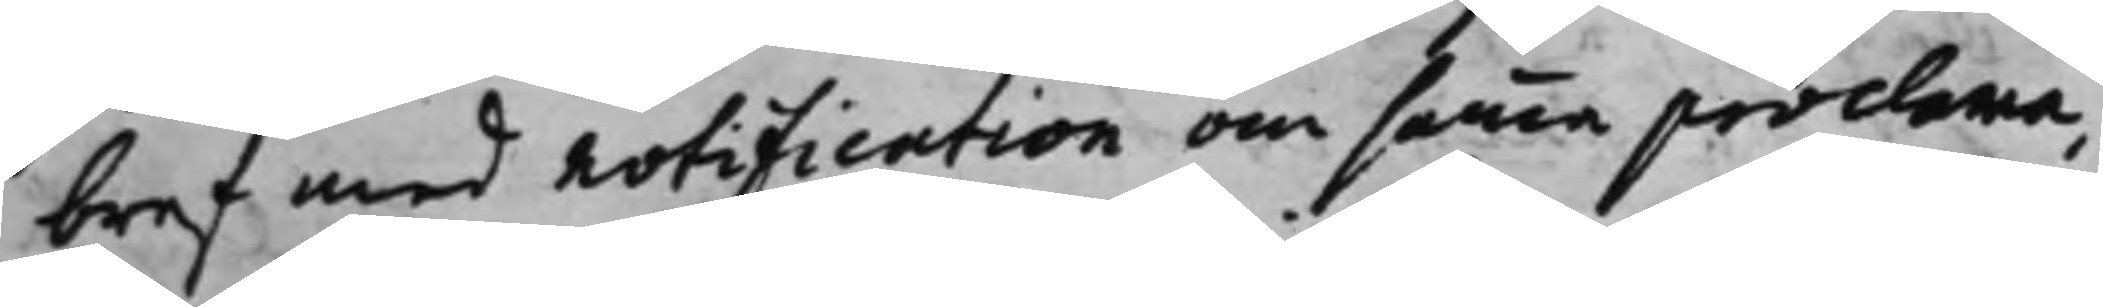bref med notification om samma proclama,
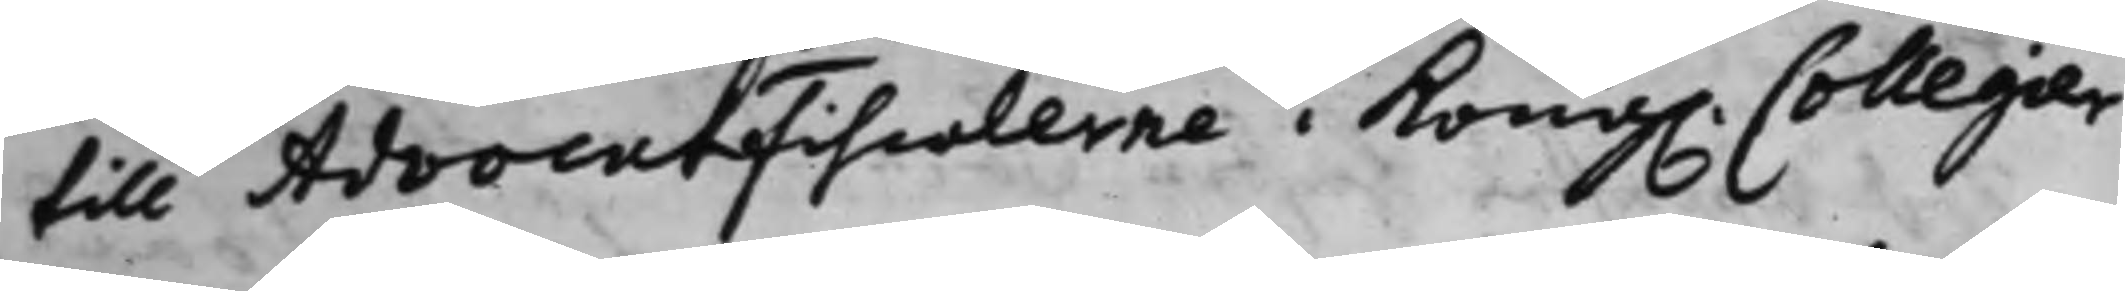till Advocatfiscalerne i Kong. Collegier¬
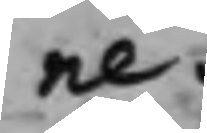ne.
